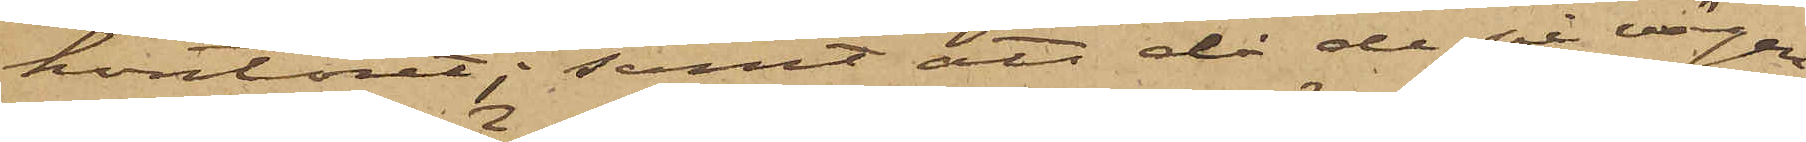kontoret; samt att då de på vägen
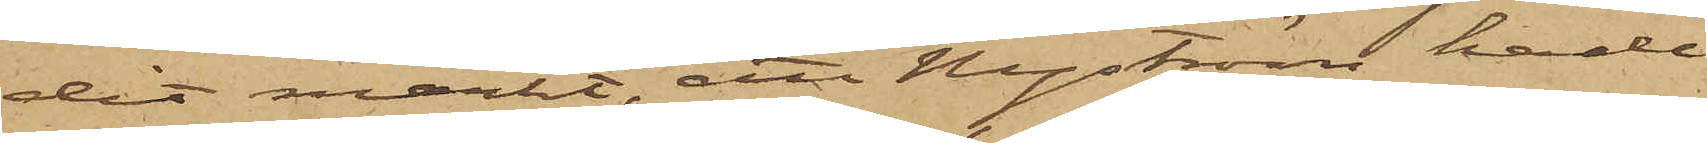dit märkt, att Nyström hade
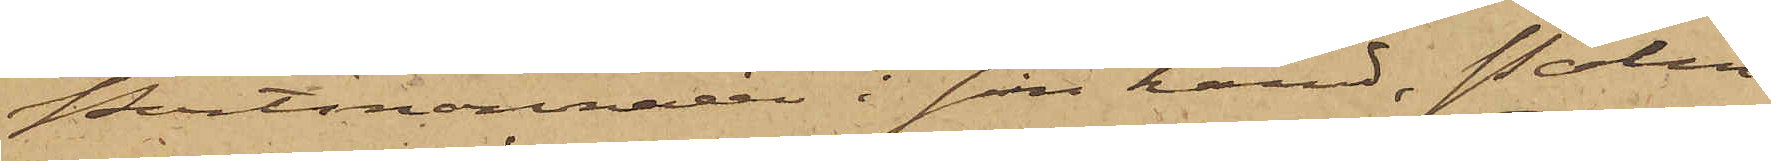Portmonnaien i sin hand, Palm¬
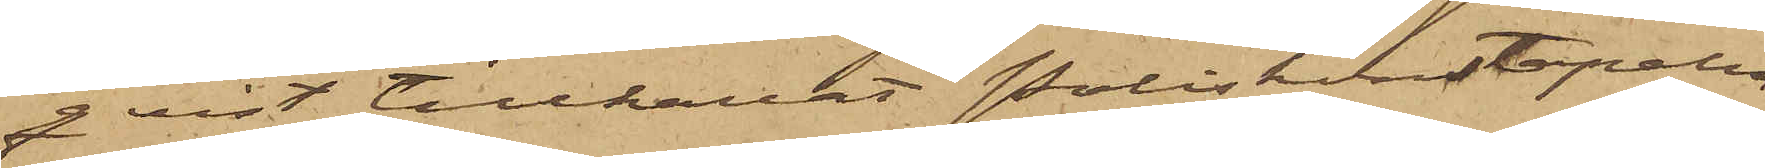qvist tillkallat Poliskonstapeln
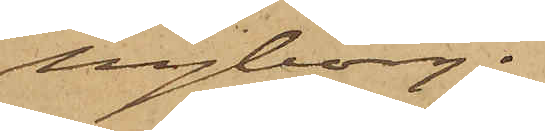Nyborg.
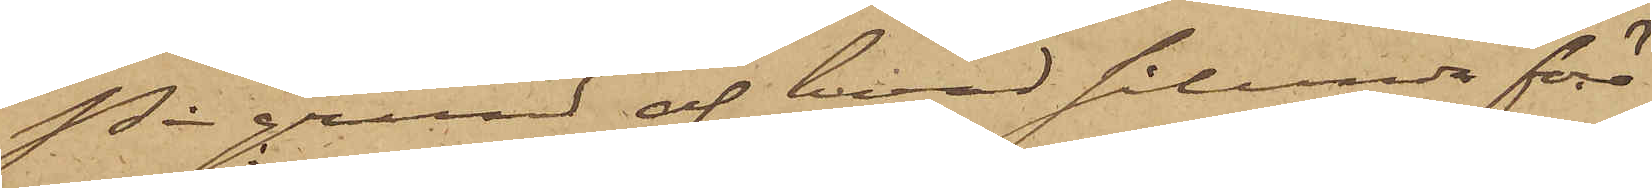På grund af hvad sålunda före¬
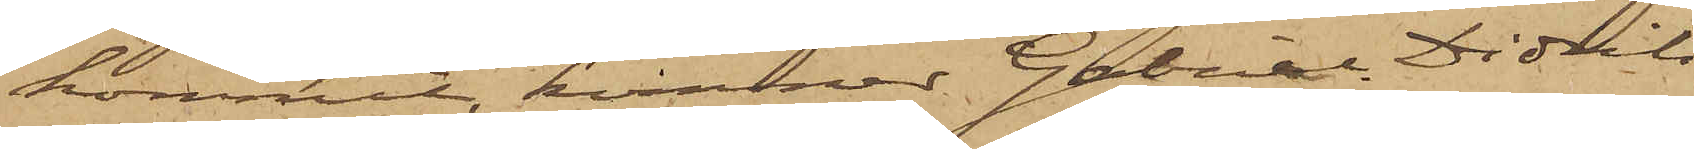kommit, kommer Gabriel Didrik
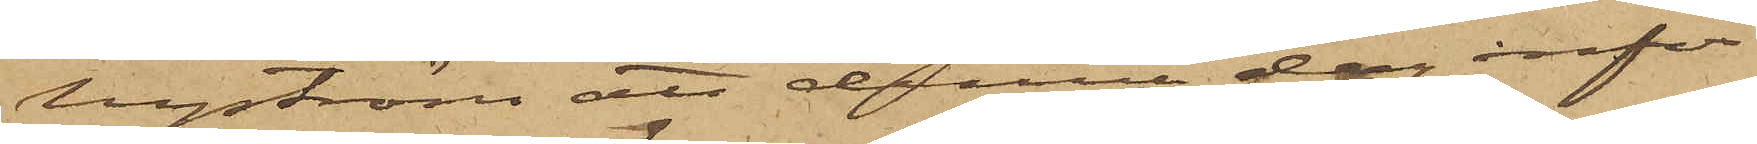Nyström att denna dag inför
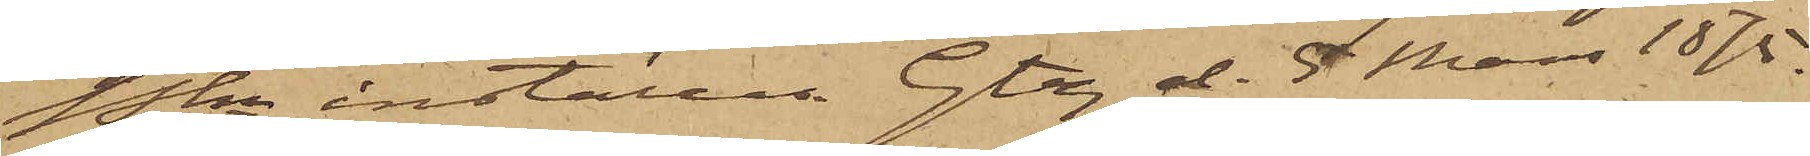Pkn inställas. Gtg d. 5 Mars 1875.
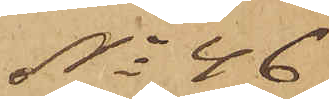No 46
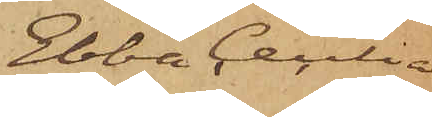Ebba Cecilia
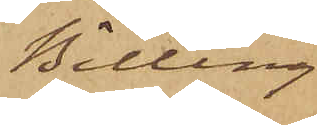Billing
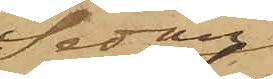Sedan
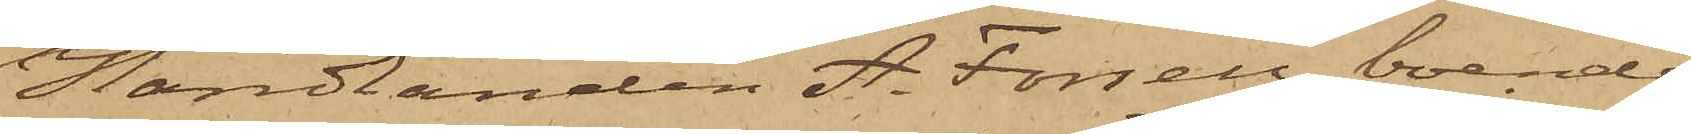Handlanden A. Forsell, boende
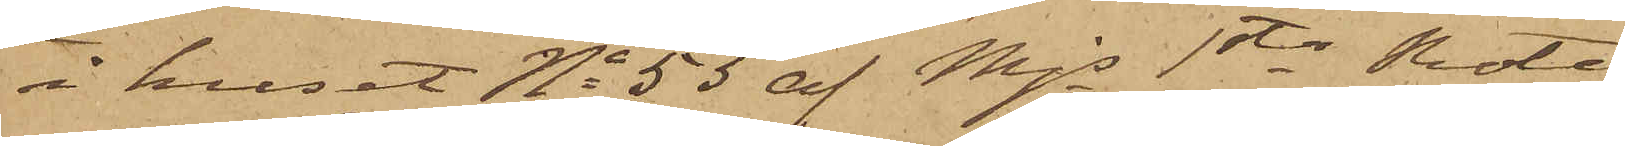i huset No 53 af Mjs 1sta Rote,
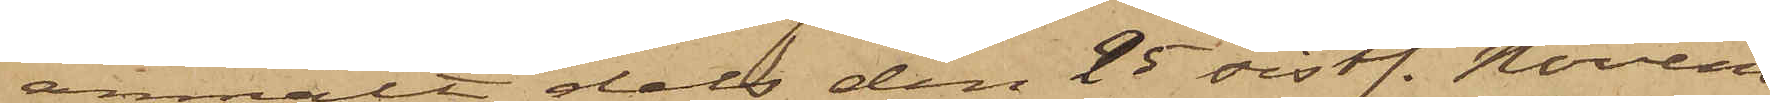anmält dels den 25 sistl. Novem¬
